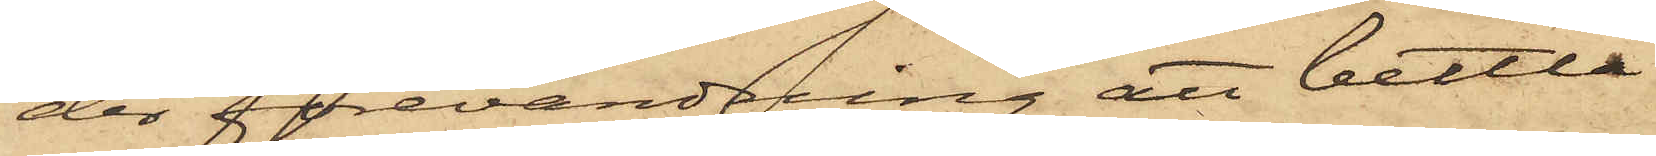der förevändning att bettla
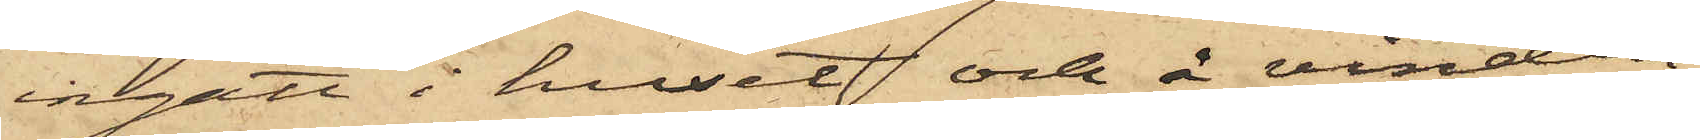ingått i huset och å vinden
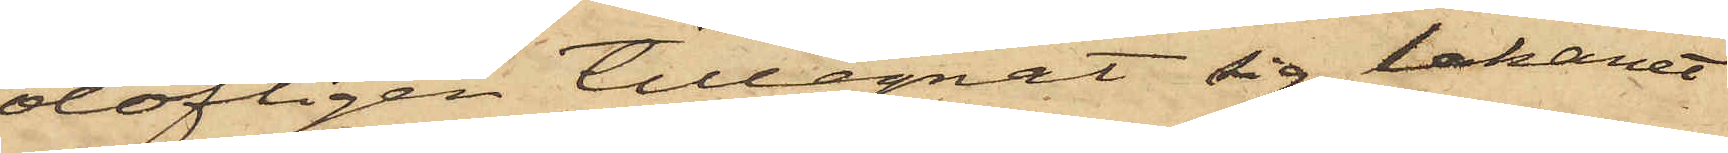olofligen tillegnat sig lakanet
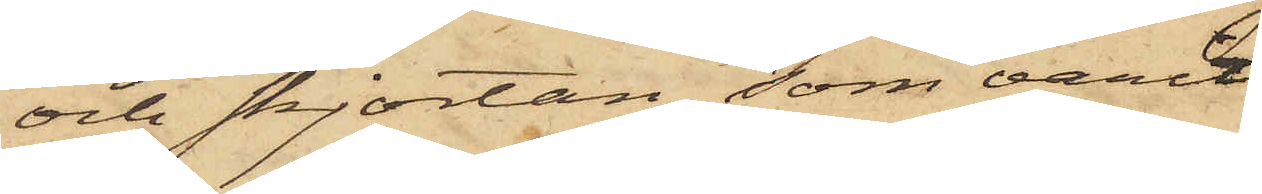och skjortan, som varit
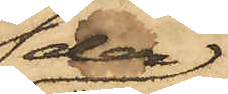der
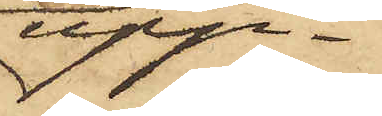upp¬
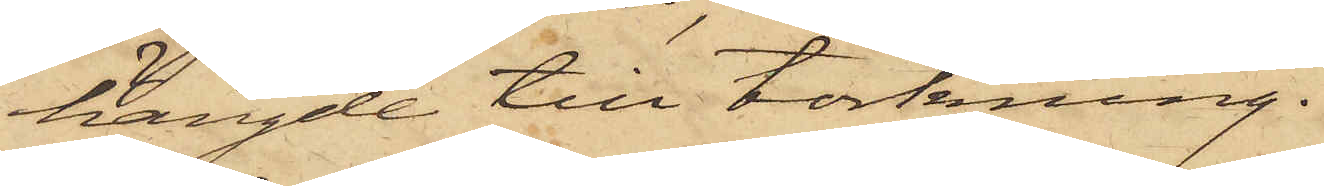hängde till torkning.
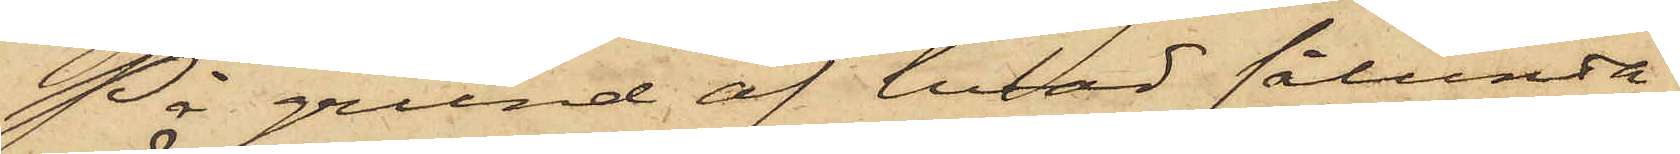På grund af hvad sålunda
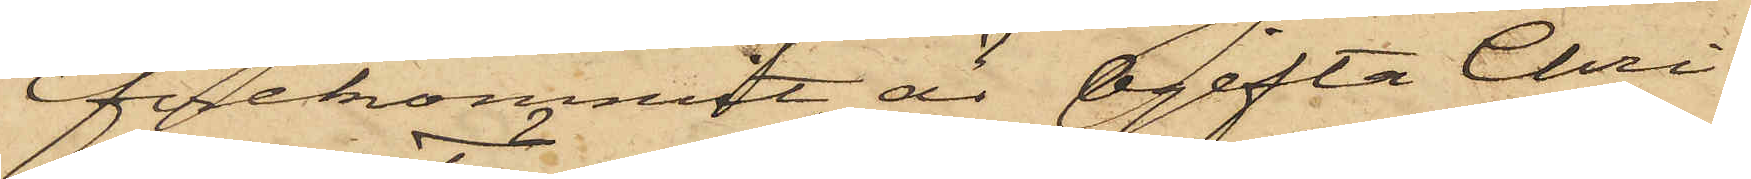förekommit, är ogifta Chri¬
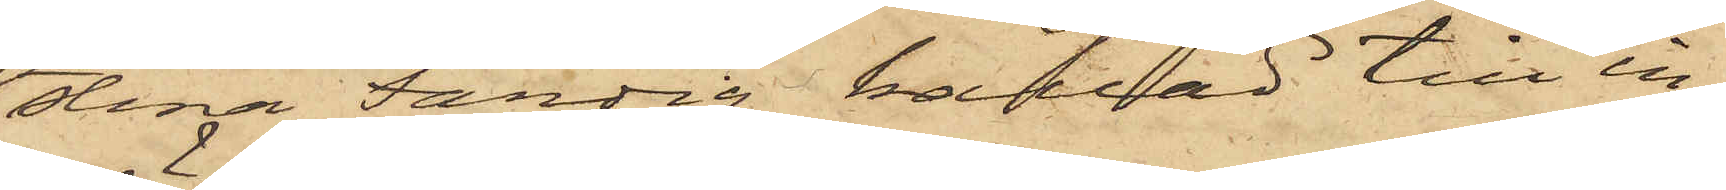stina Färdig kallad till in¬
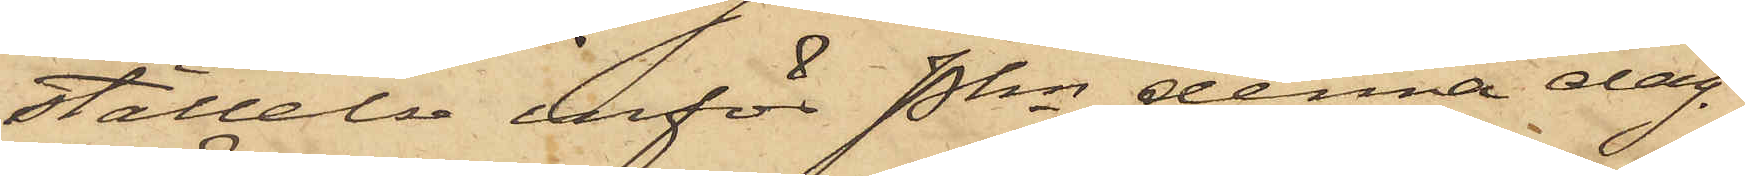ställelse inför Pkn denna dag.
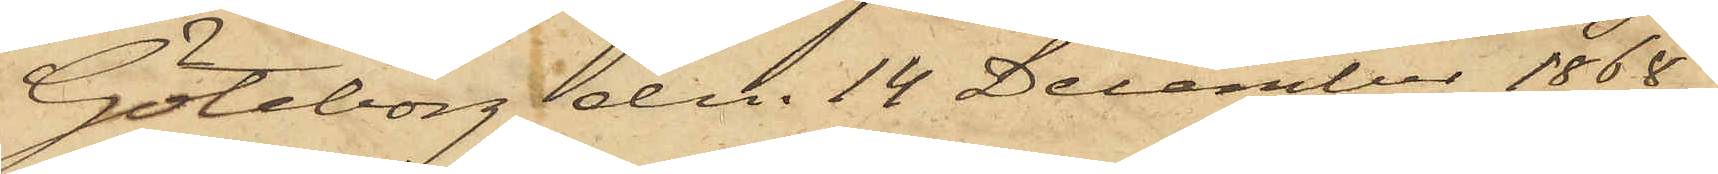Göteborg den 14 December 1868.
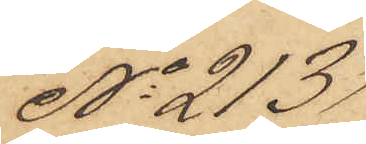No 213
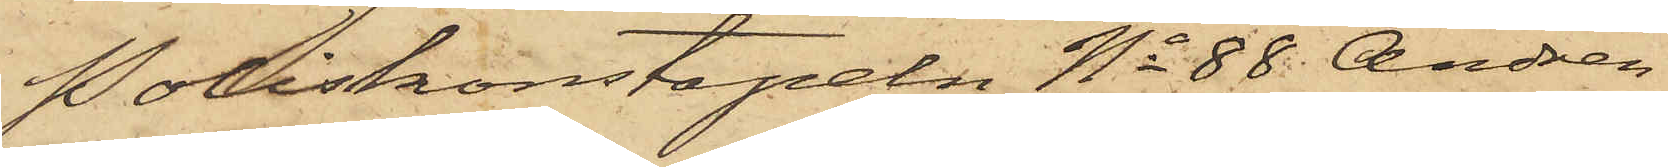Poliskonstapeln No 88 Andrén
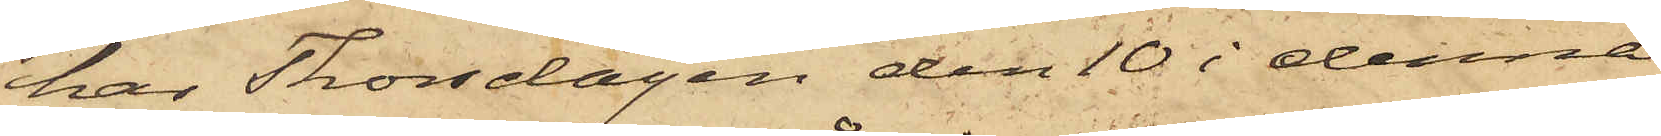har Thorsdagen den 10 i denna
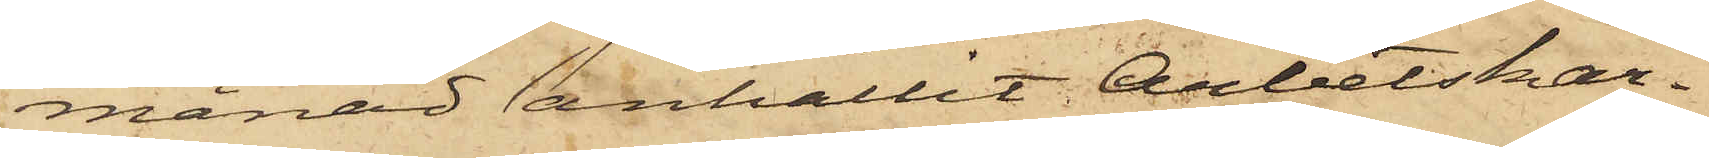månad anhållit Arbetskar¬
